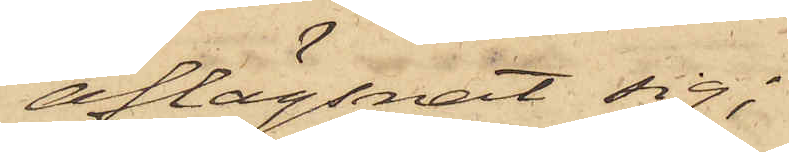aflägsnat sig;
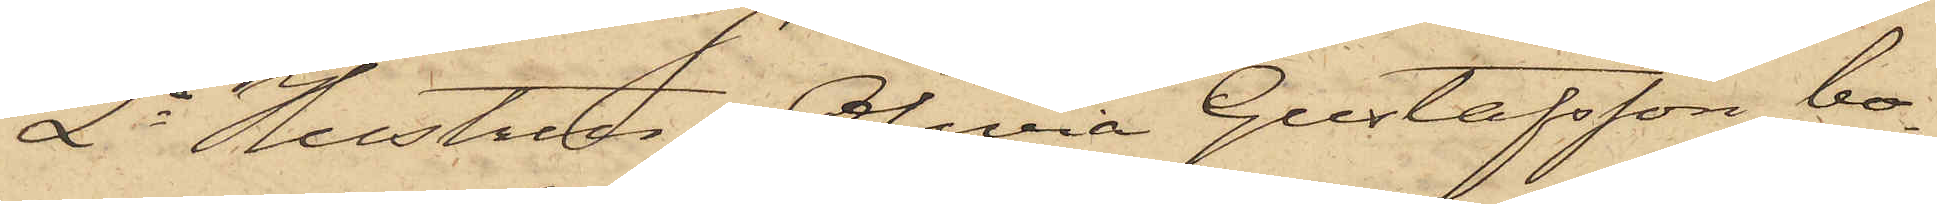2o Hustrun Olivia Gustafsson, bo¬
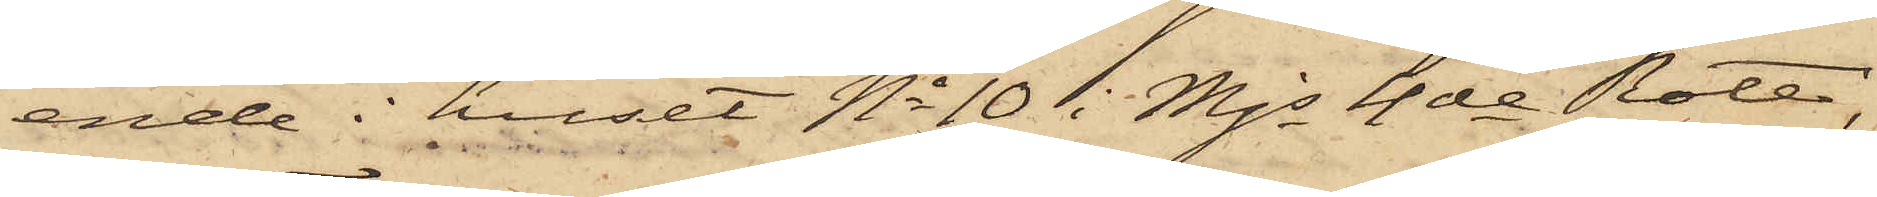ende i huset No 10 i Mjs 4de Rote,
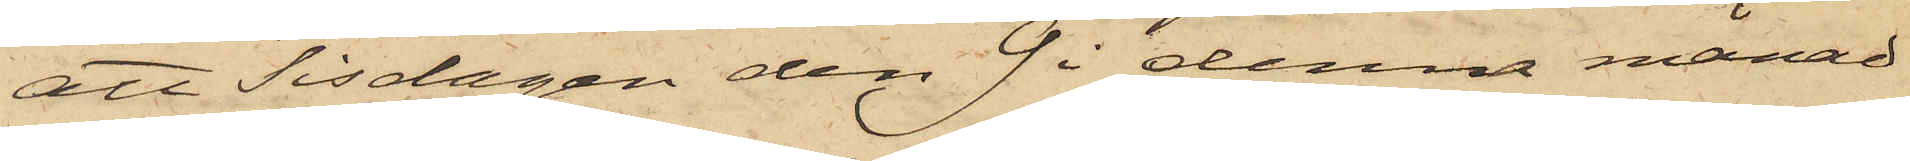att Tisdagen den 9 i denna månad
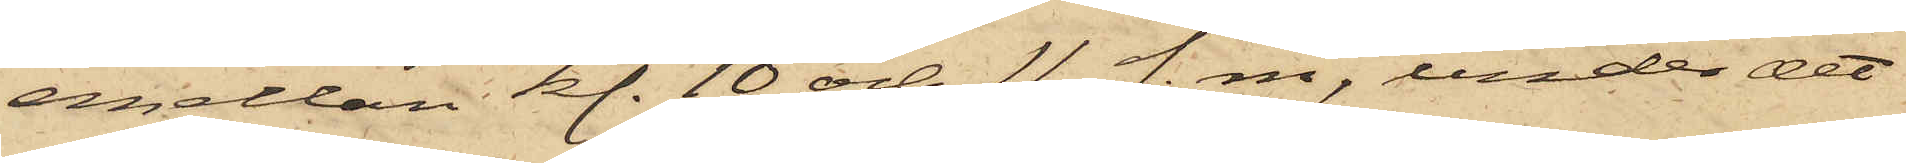emellan kl. 10 och 11 f. m, under det
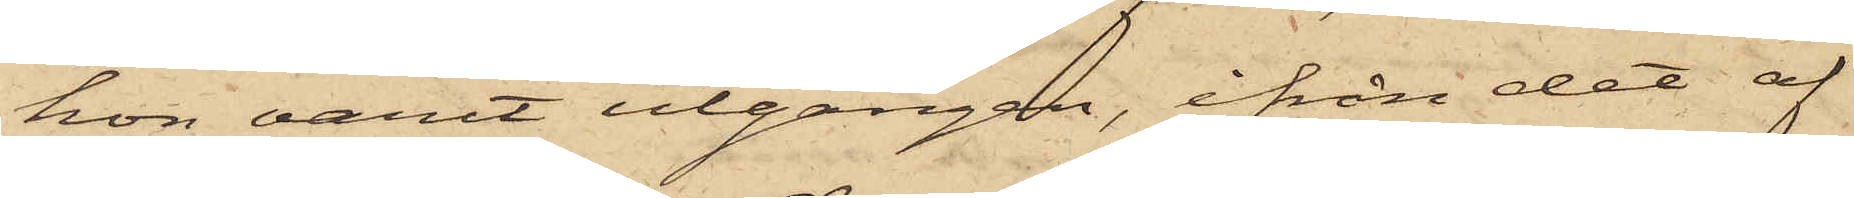hon varit utgången, ifrån det af
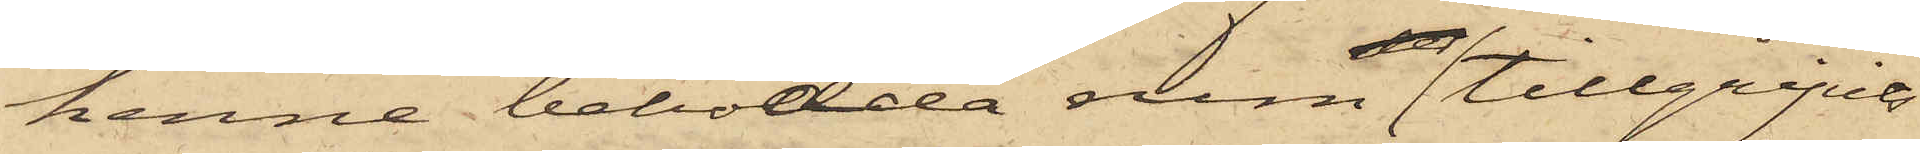henne bebodda rum tillgripits
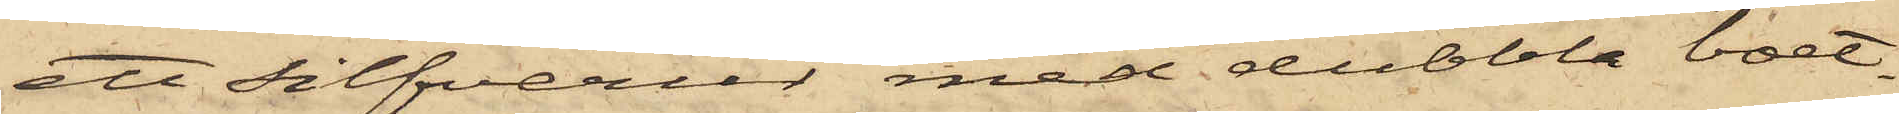ett silfverur med dubbla boet¬
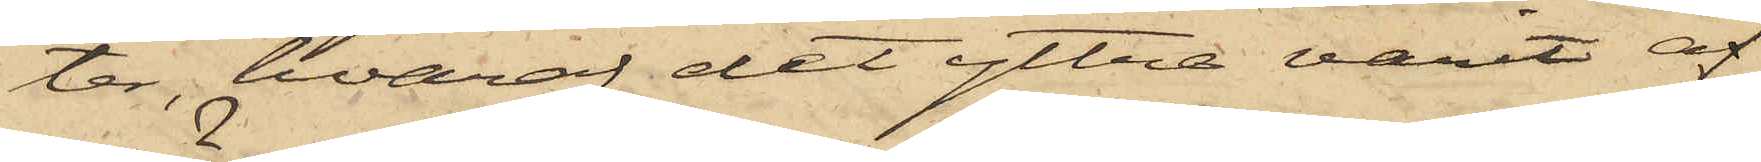ter, hvaraf det yttre varit af
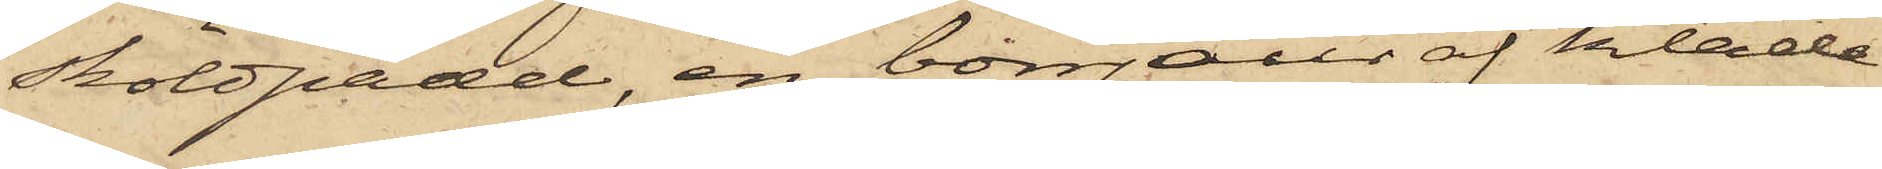sköldpadd, en bonjour af kläde
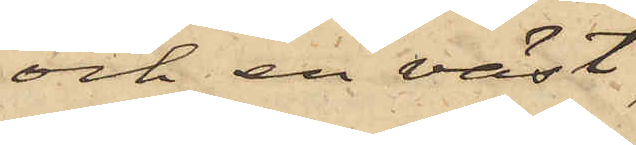och en väst
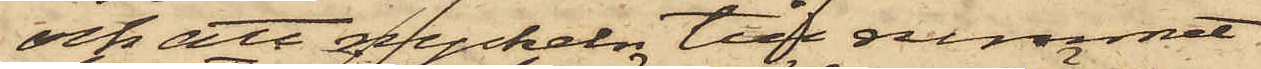och att nyckeln till rummet
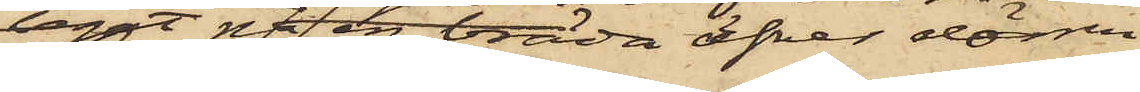legat på en bräda öfver dörren
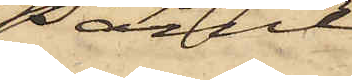samt
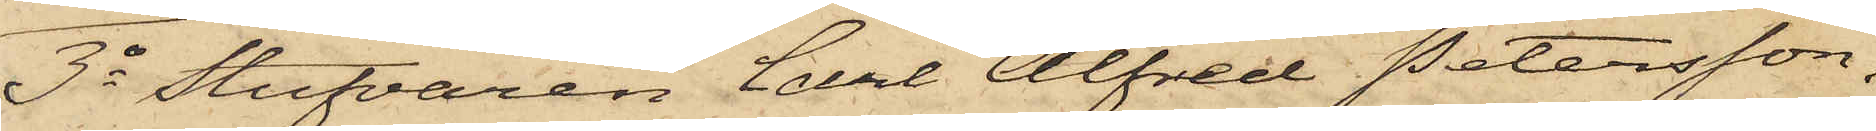3o Stufvaren Carl Alfred Petersson,
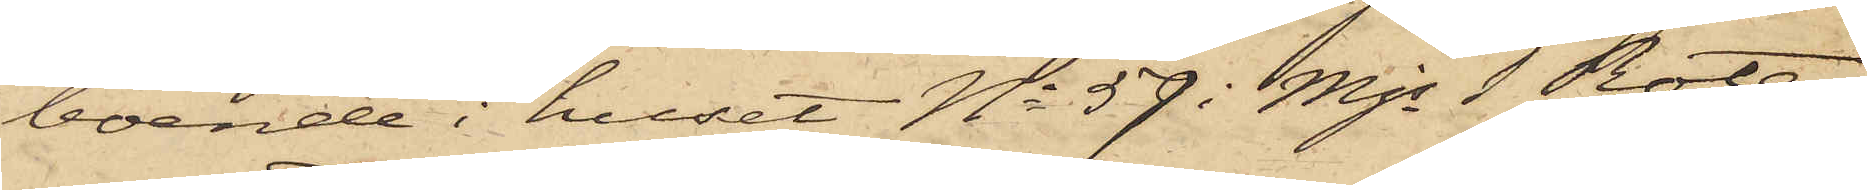boende i huset No 59 i Mjs 1 Rote,
